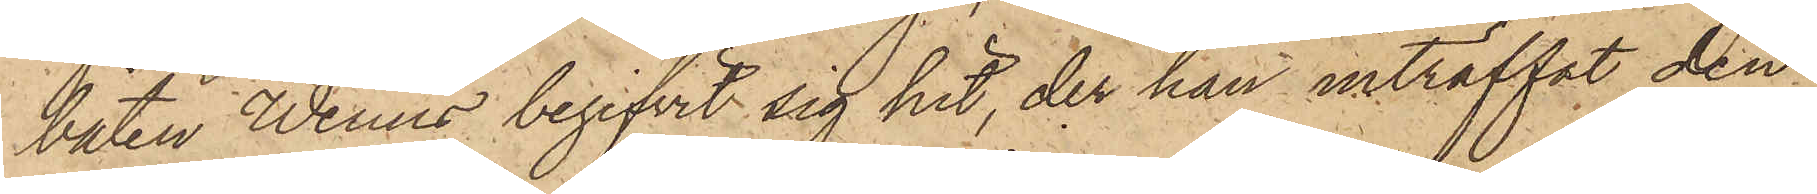båten Wenus begifvit sig hit, der han inträffat den
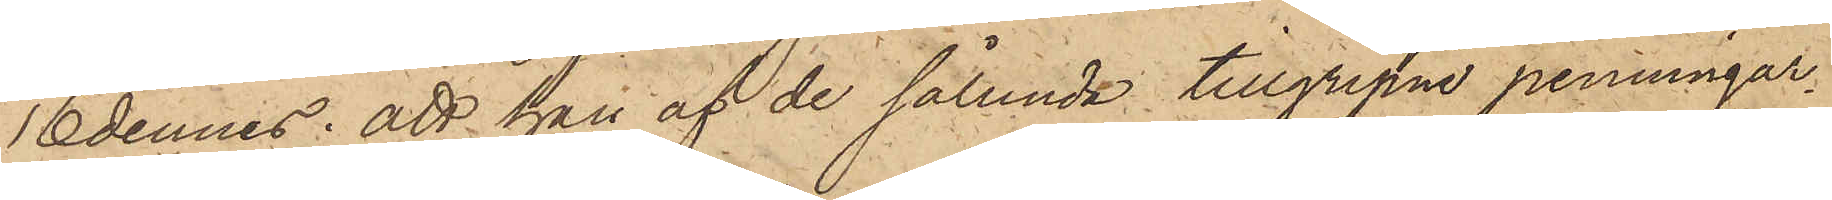16 dennes; att han af de sålunda tillgripne penningar¬
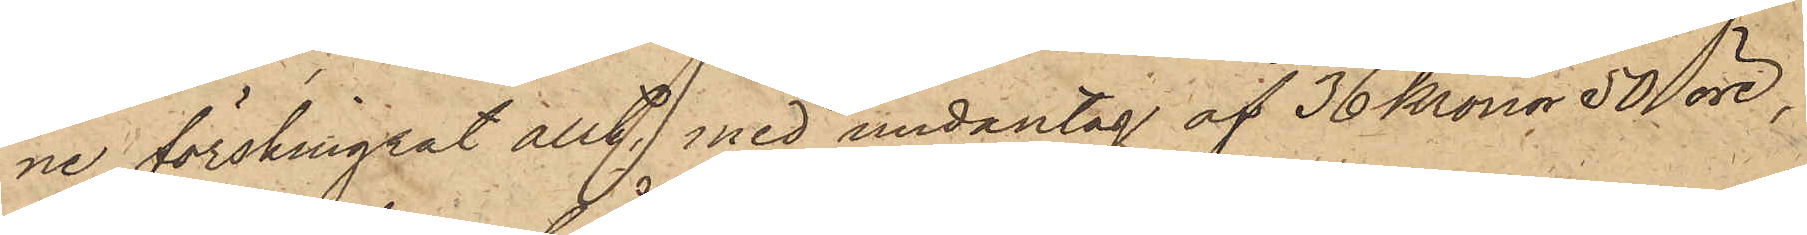ne förskingrat allt med undantag af 36 Kronor 50 öre,
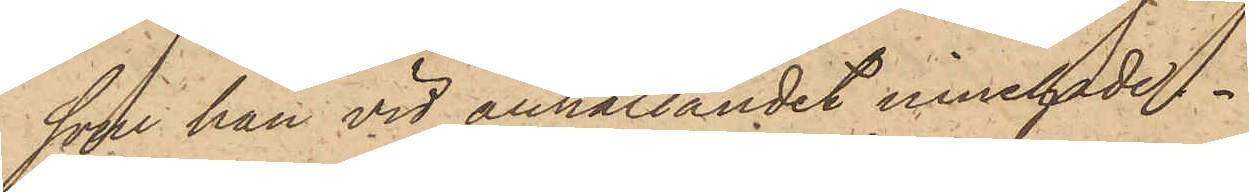som han vid anhållandet innehade
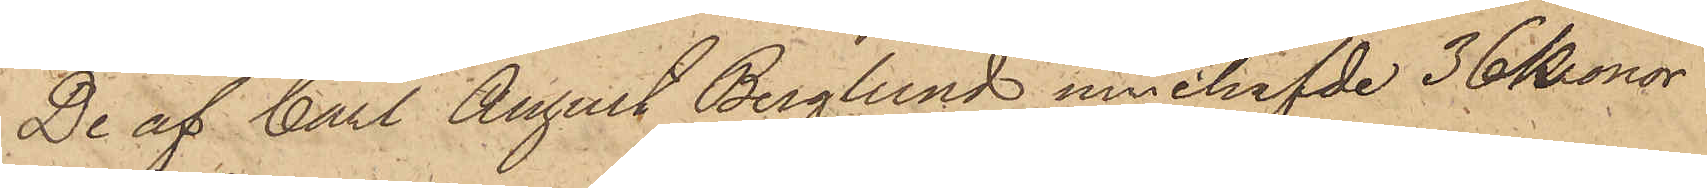De af Carl August Berglund innehafde 36 Kronor
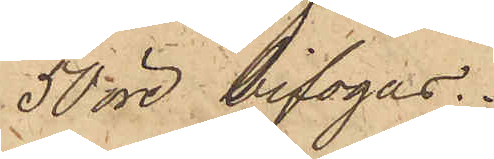50 öre bifogas.
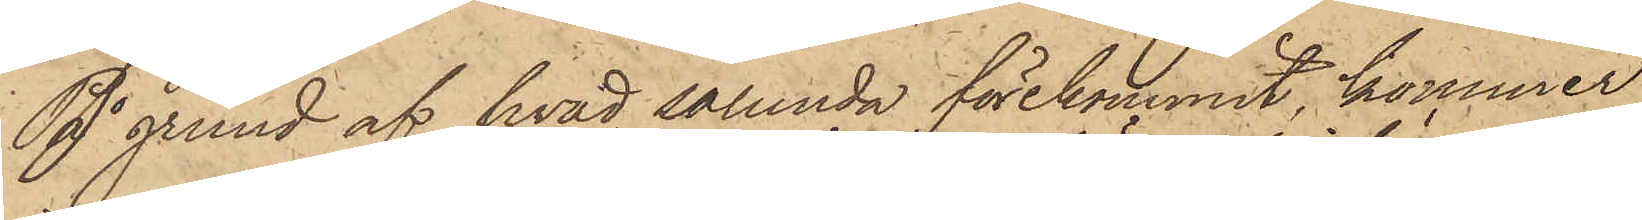På grund af hvad sålunda förekommit, kommer
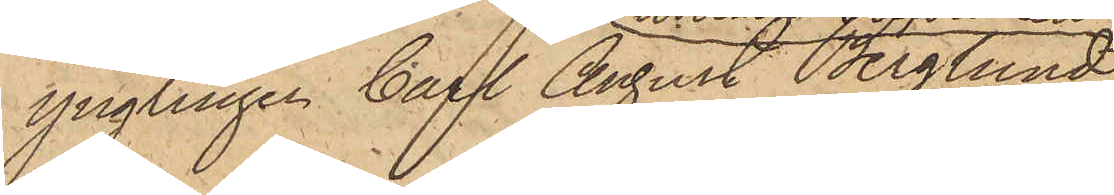ynglingen Carl August Berglund,
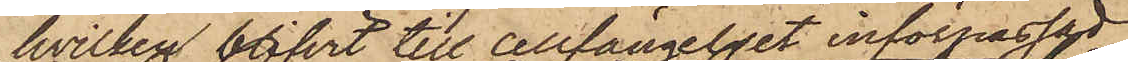hvilken blifvit till cellfängelset införpassad,
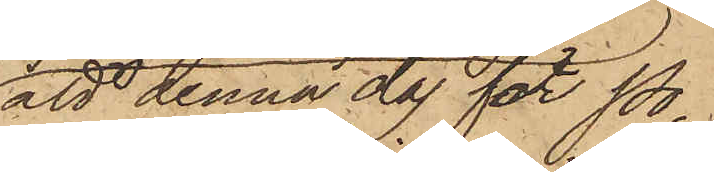att denna dag för Po¬
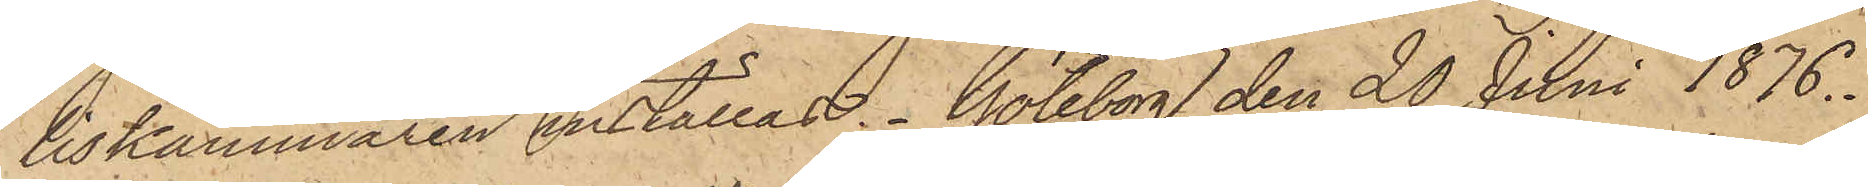liskammaren inställas. Göteborg den 20 Juni 1876.
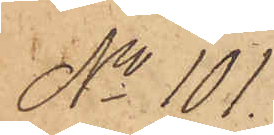No 101.
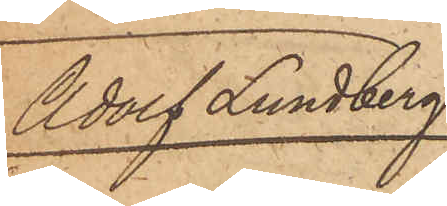Adolf Lundberg
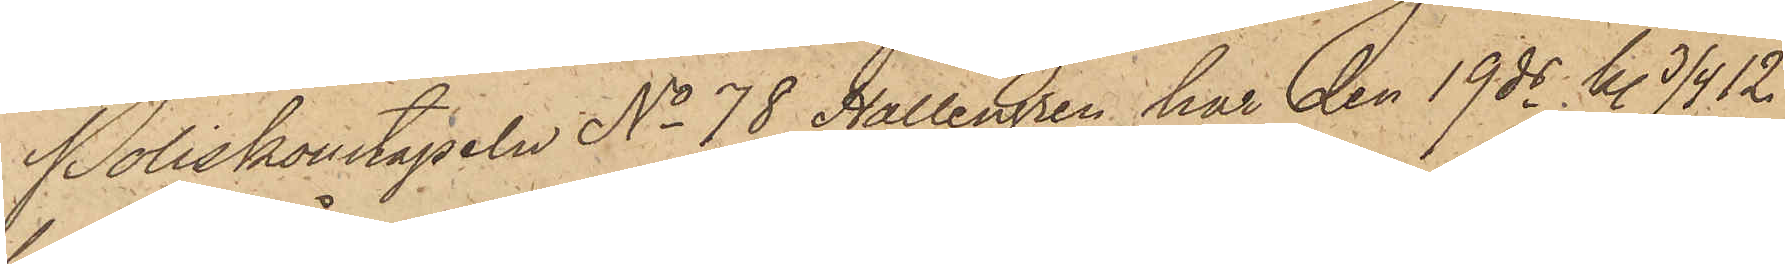Poliskonstapeln No 78 Hallengren har den 19 ds kl. 3/4 12
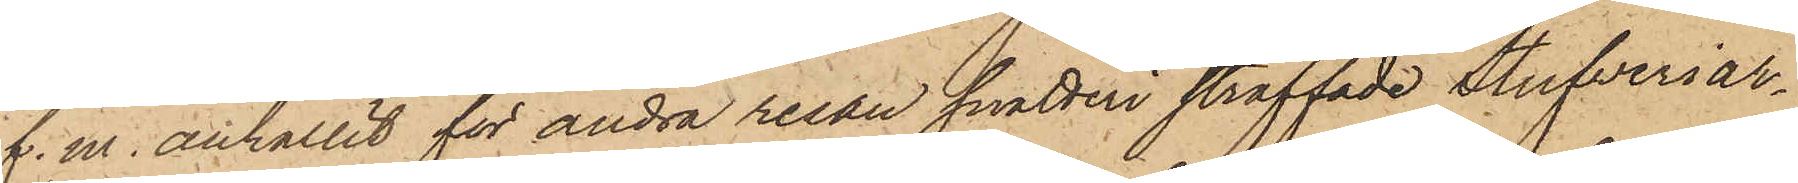f. m. anhållit för andra resan snatteri straffade Stufveriar¬
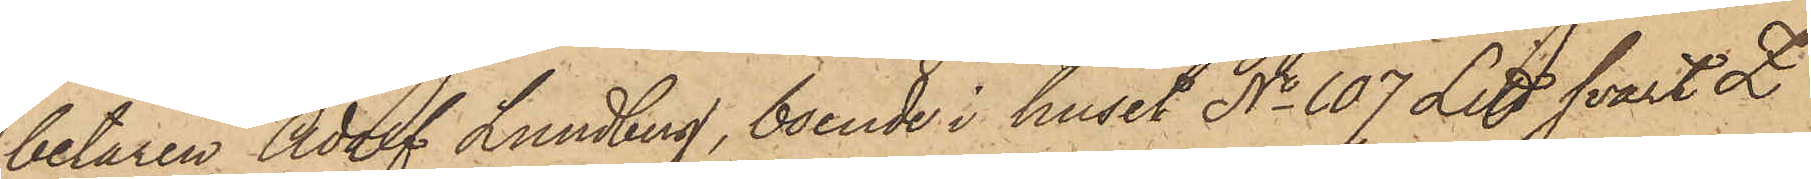betaren Adolf Lundberg, boende i huset No 107 Litt svart Z
